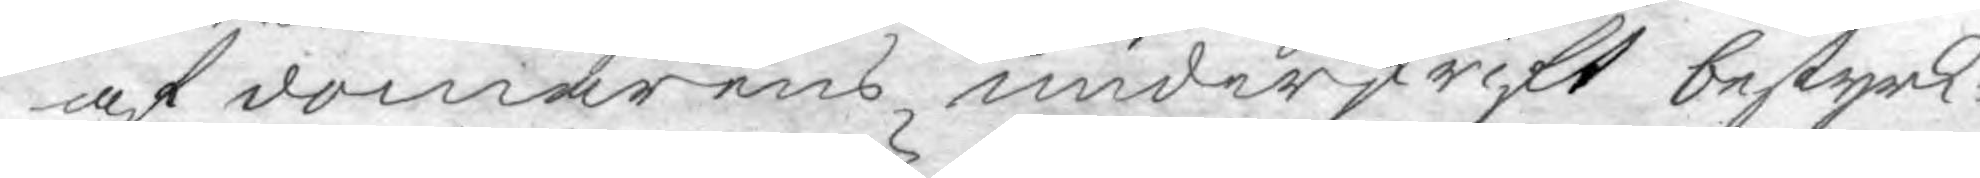af domarens underskrift bestyrk¬
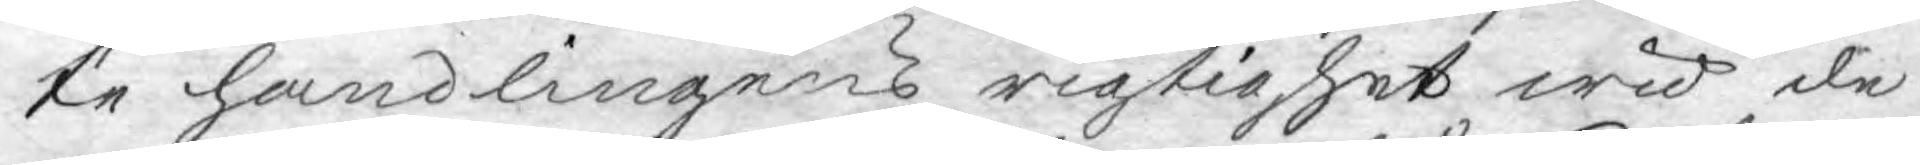te handlingens rigtighet wid de
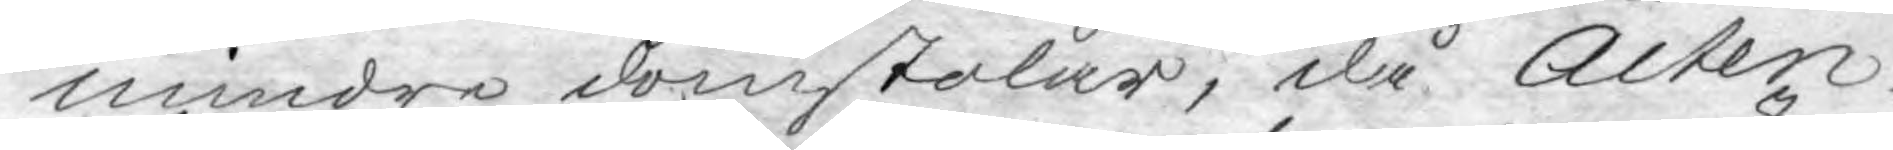mindre domstolar, då Acten
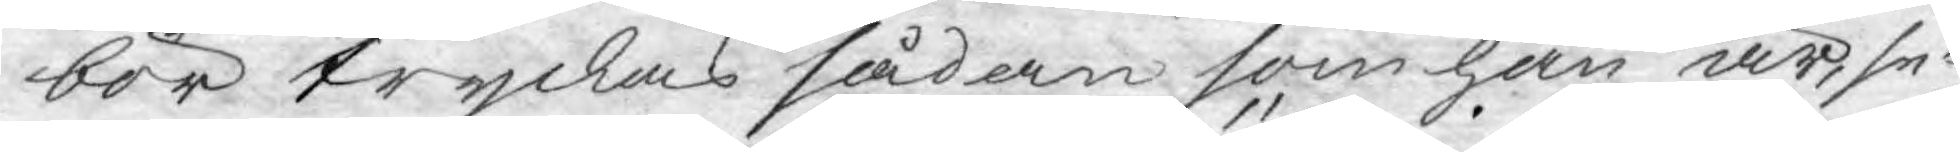bör tryckas sådan som han är, se¬
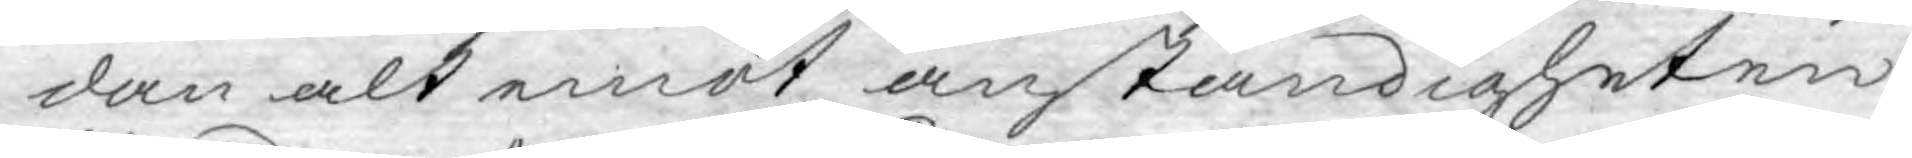dan alt emot anständigheten
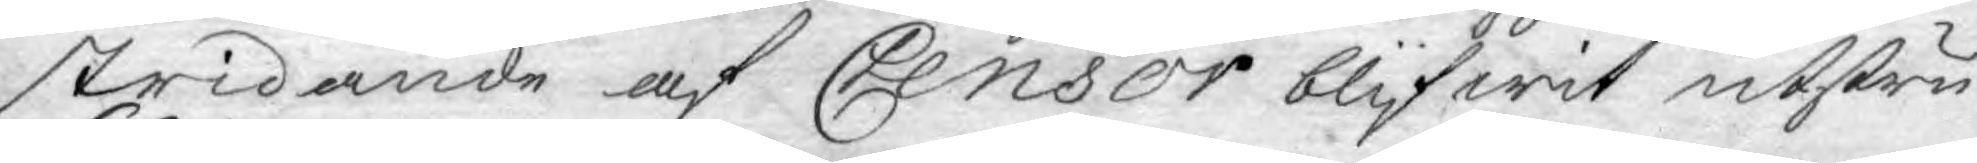stridande af Censor blifwit utstru¬
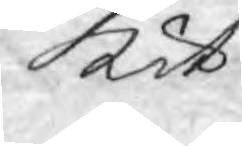kit.
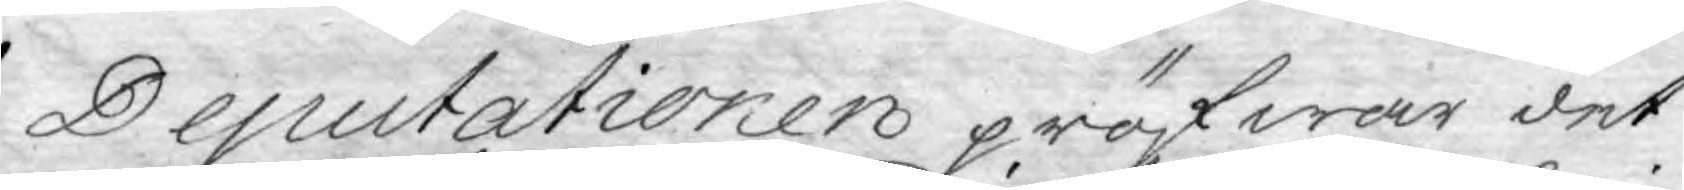Deputationen pröfwar det
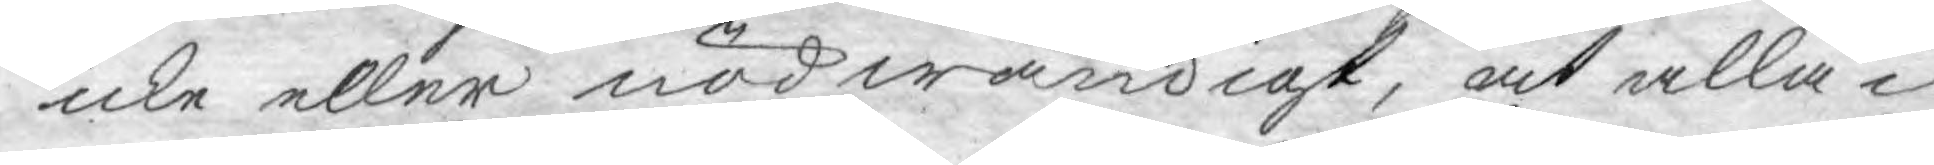icke eller nödwändigt, at alla i
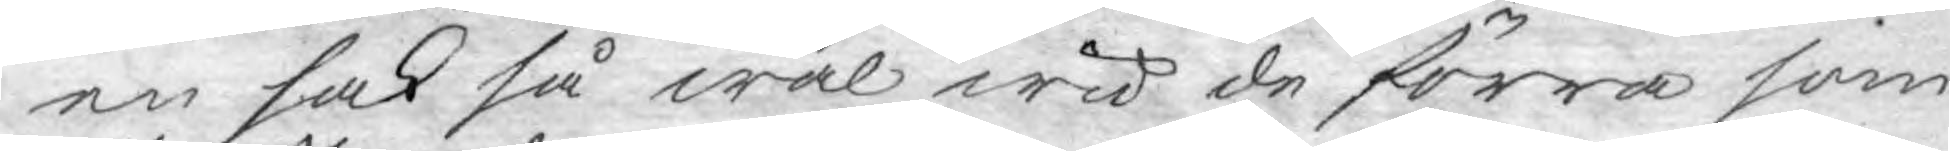en sak så wäl wid de förra som
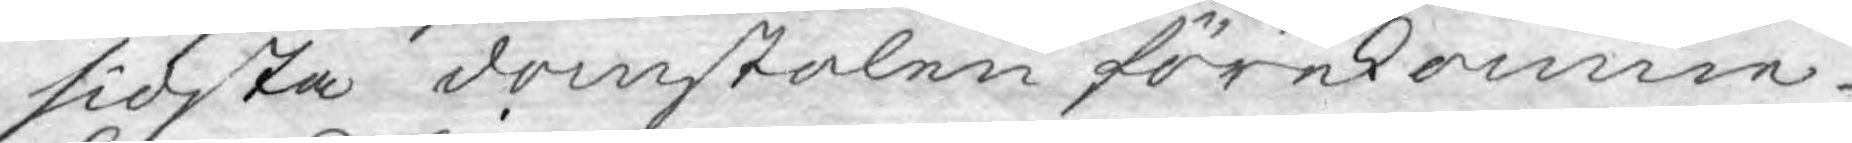sidsta domstolen förekomne
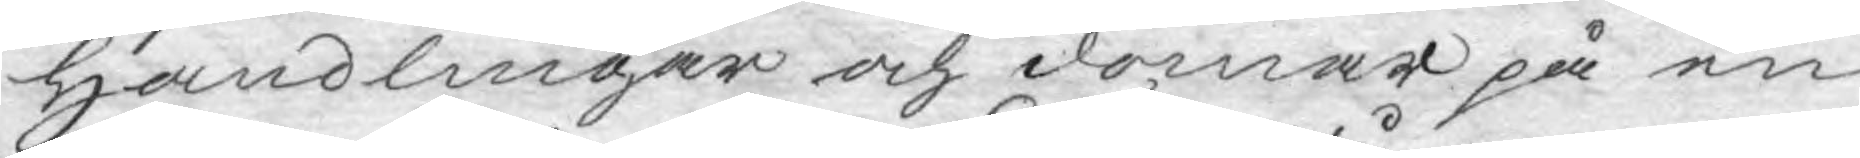handlingar och domar på en
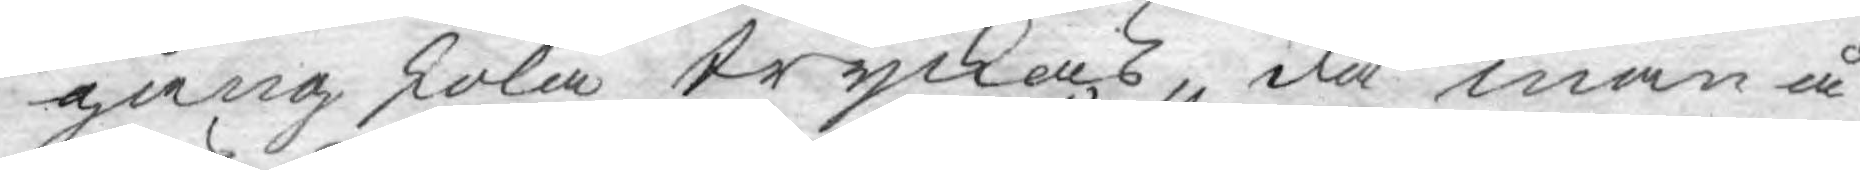gång skola tryckas, då man å¬
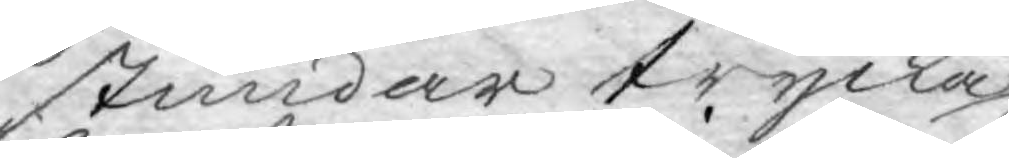stundar trycka
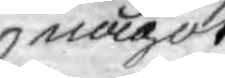något
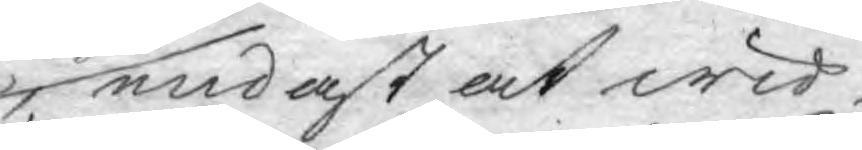endast at wid
